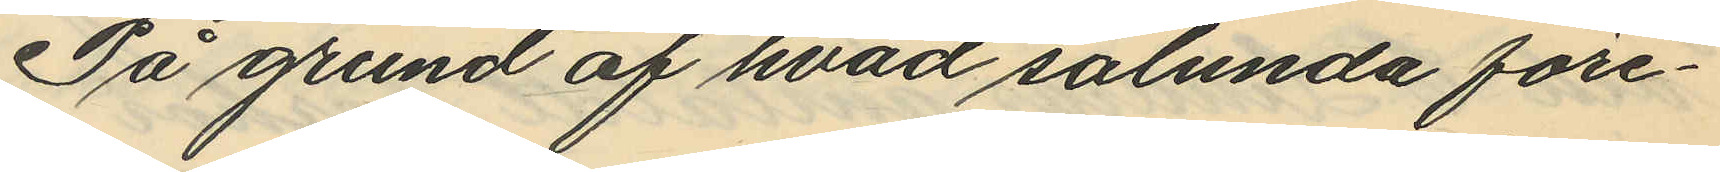På grund af hvad sålunda före¬
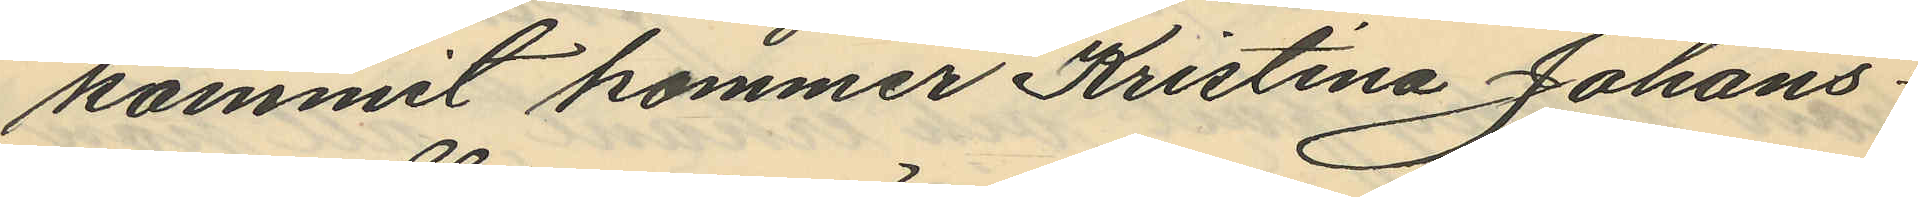kommit kommer Kristina Johans¬
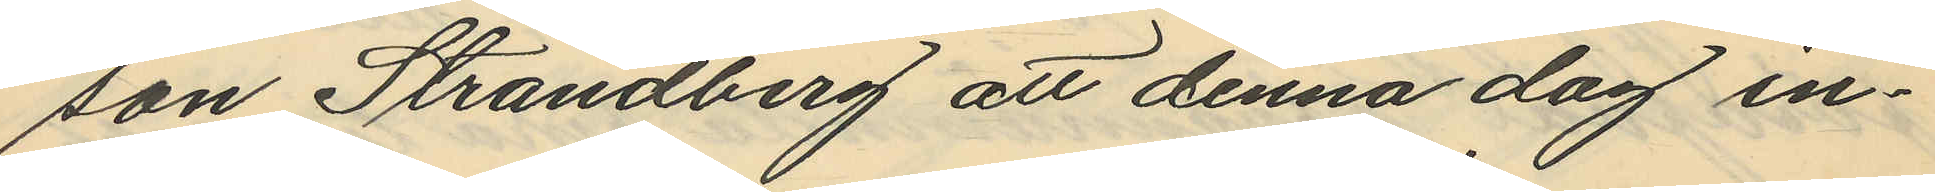son Strandberg att denna dag in¬
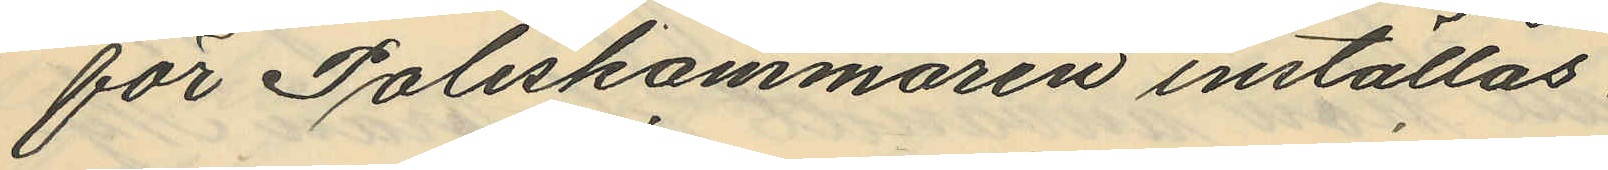för Poliskammaren inställas.
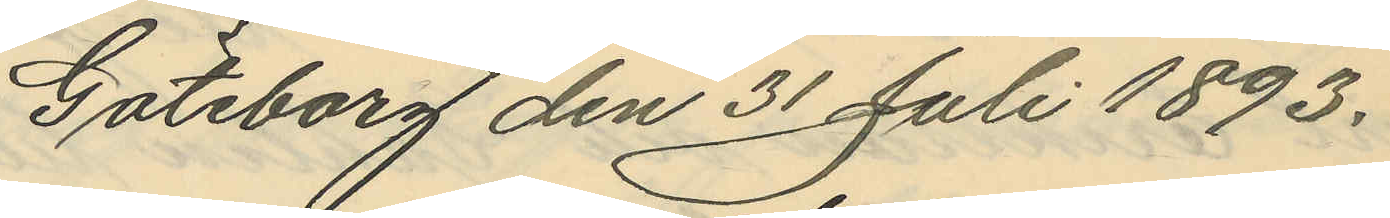Göteborg den 31 Juli 1893.
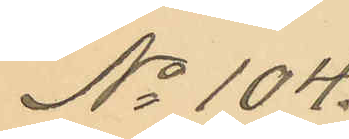No 104.
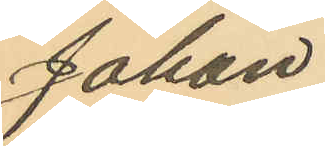Johan
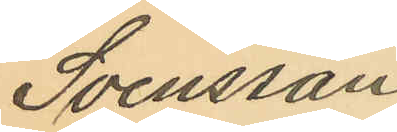Svensson
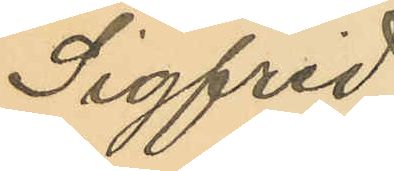Sigfrid
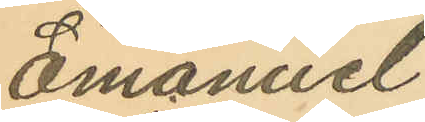Emanuel
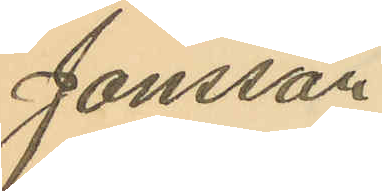Jonsson
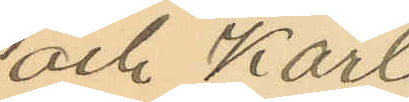och Karl
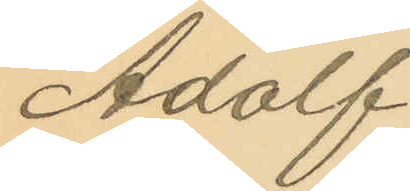Adolf
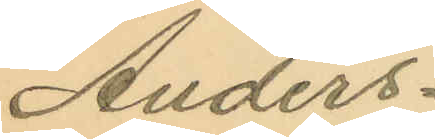Anders¬
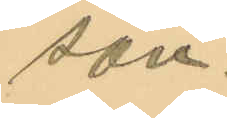son.
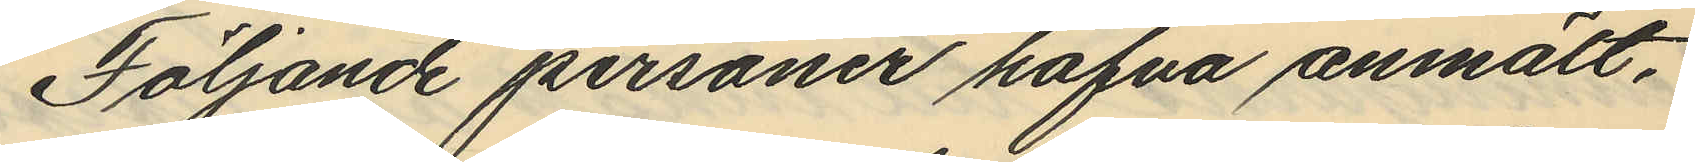Följande personer hafva anmält.
